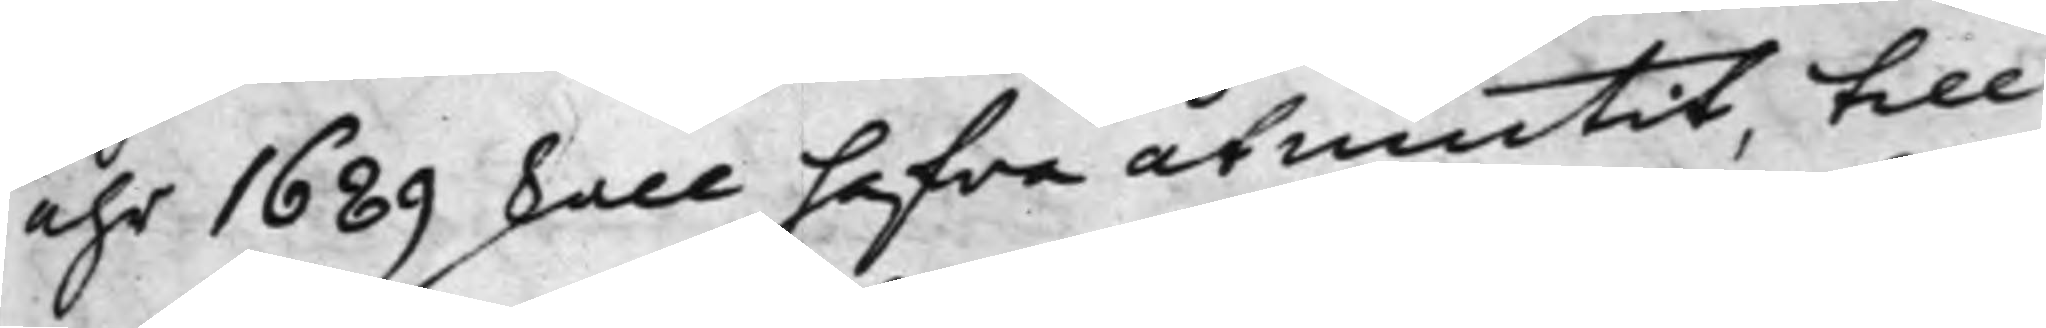åhr 1689 skall hafwa åtniutit, till
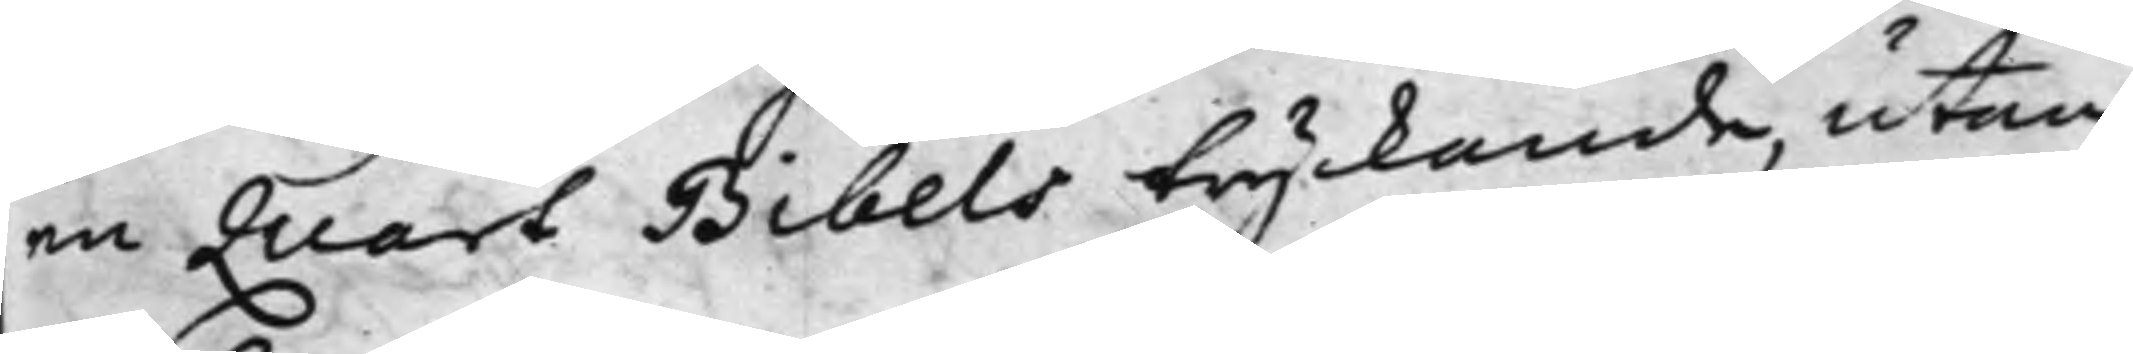en quart Bibels tryckande, utan
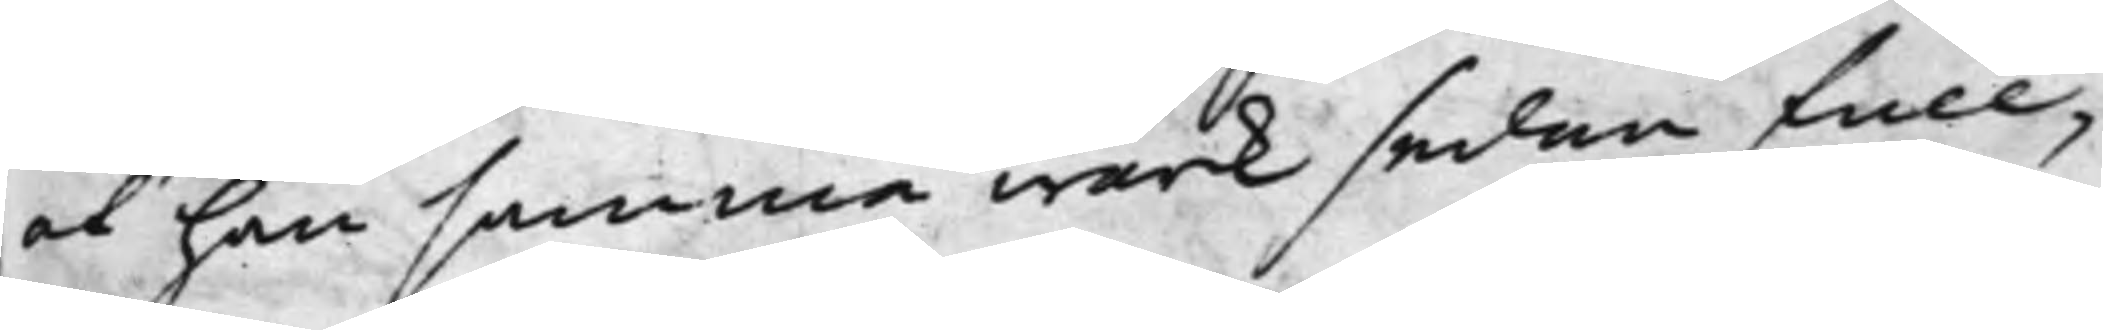at han samma wärk sedan full¬
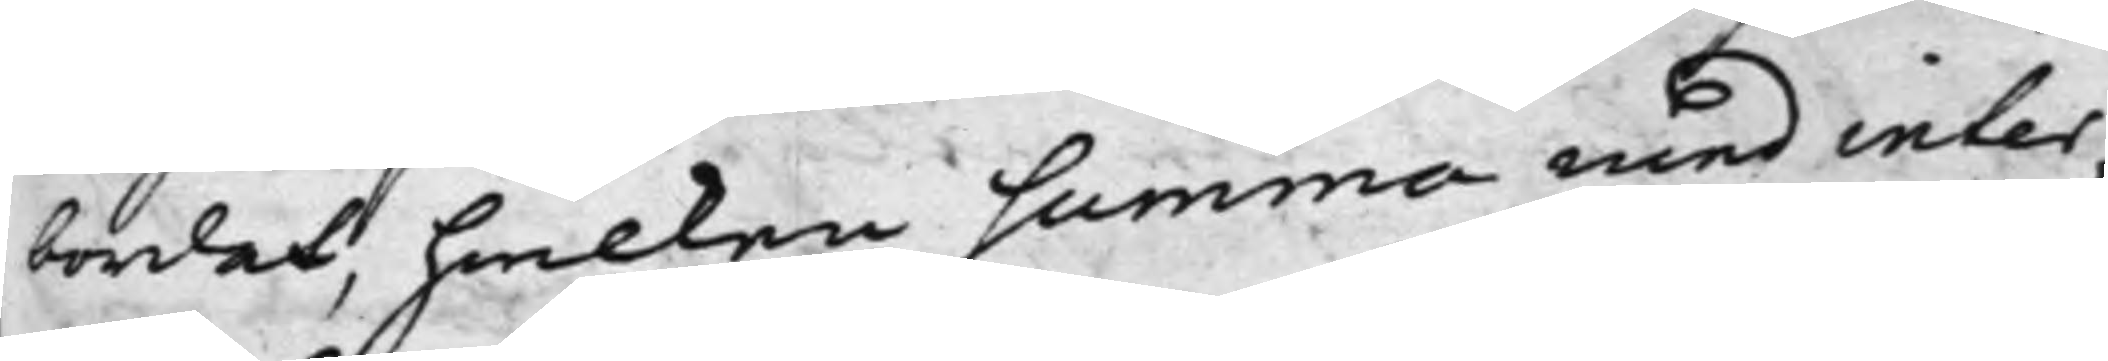bordat, hwilken summa med inter¬
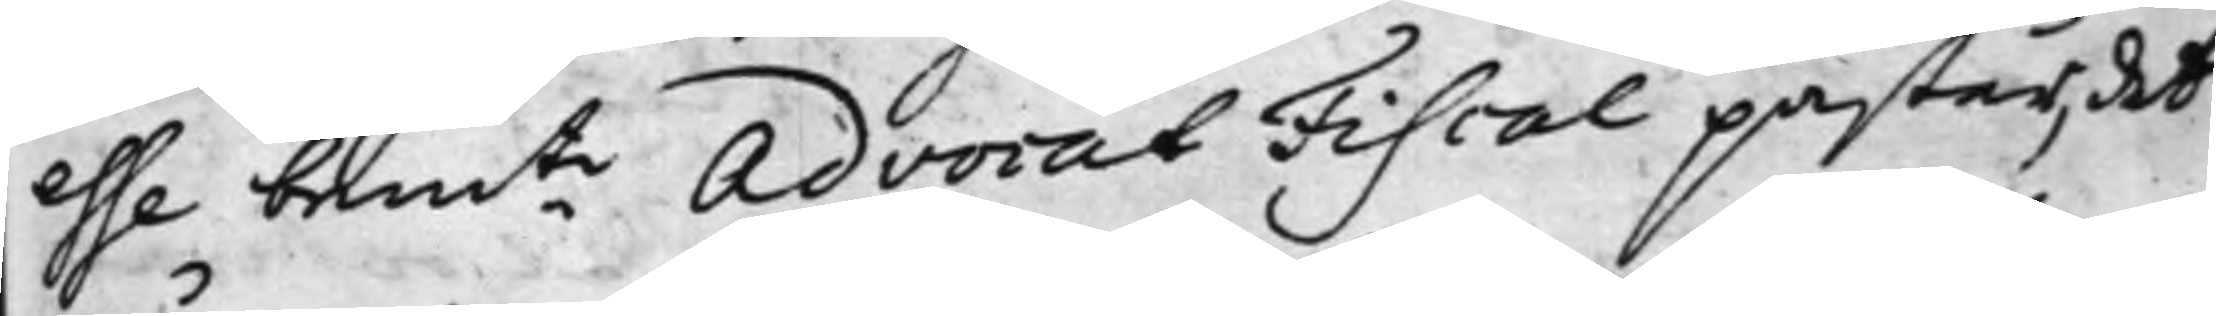esse bemte Advocat Fiscal påstår, det
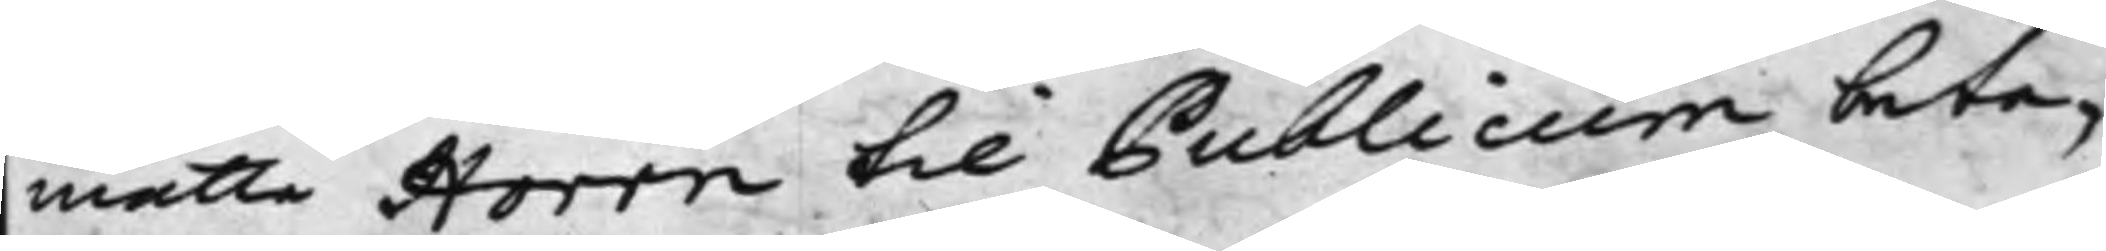måtte Horrn til Publicum beta¬
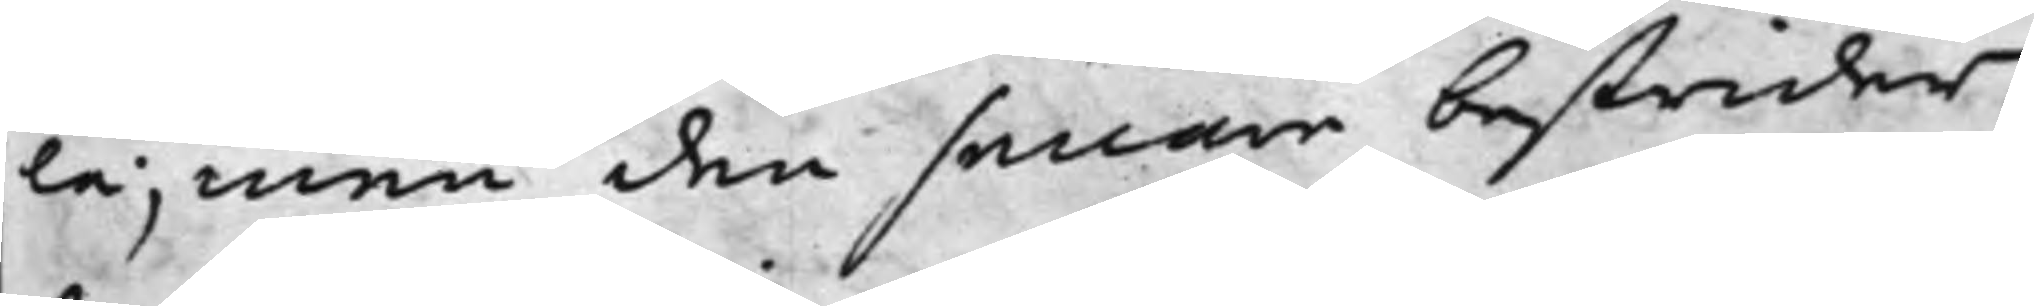la, men den senare bestrider;
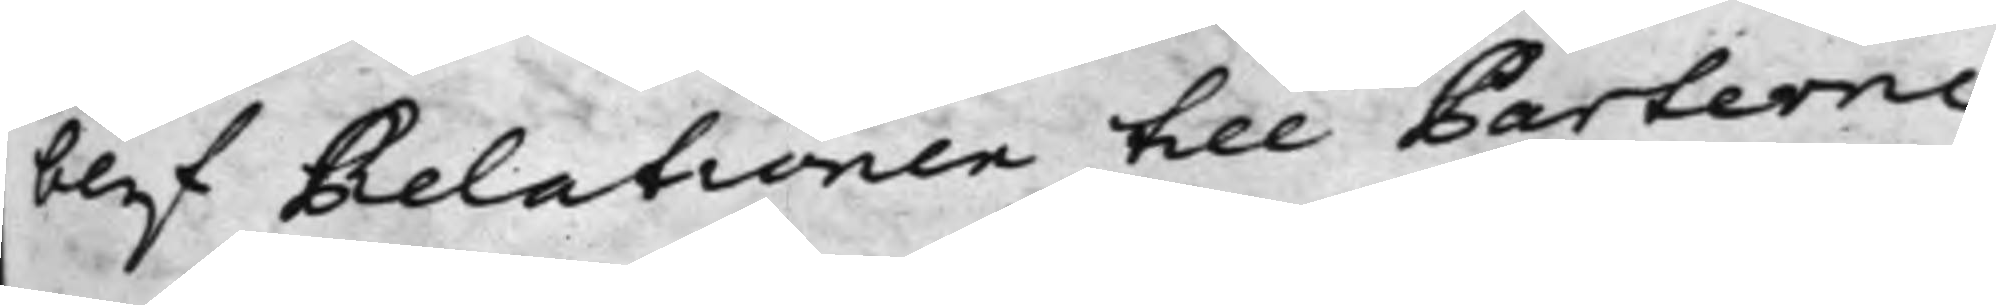blef Relationen till Parterne
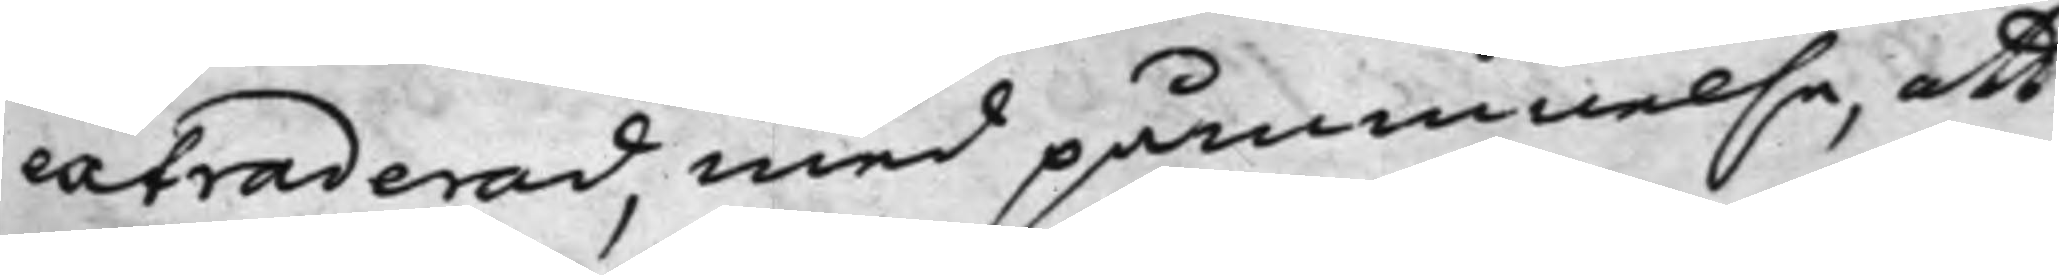extraderad, med påminnelse, att
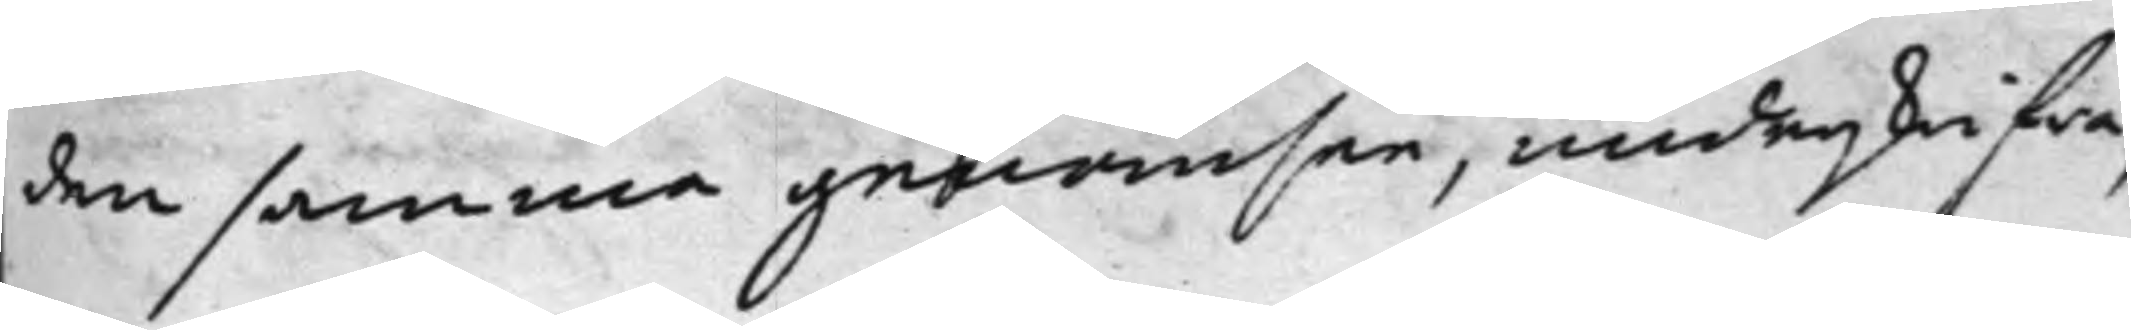den samma genomsee, underskrifwa,
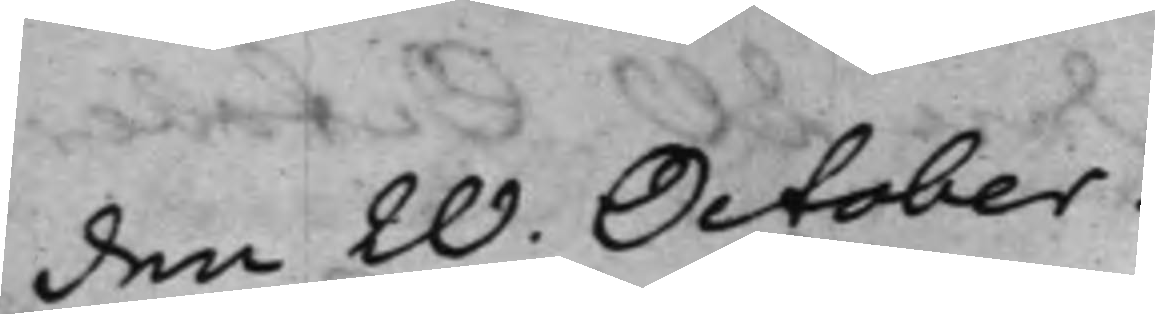den 20. October.
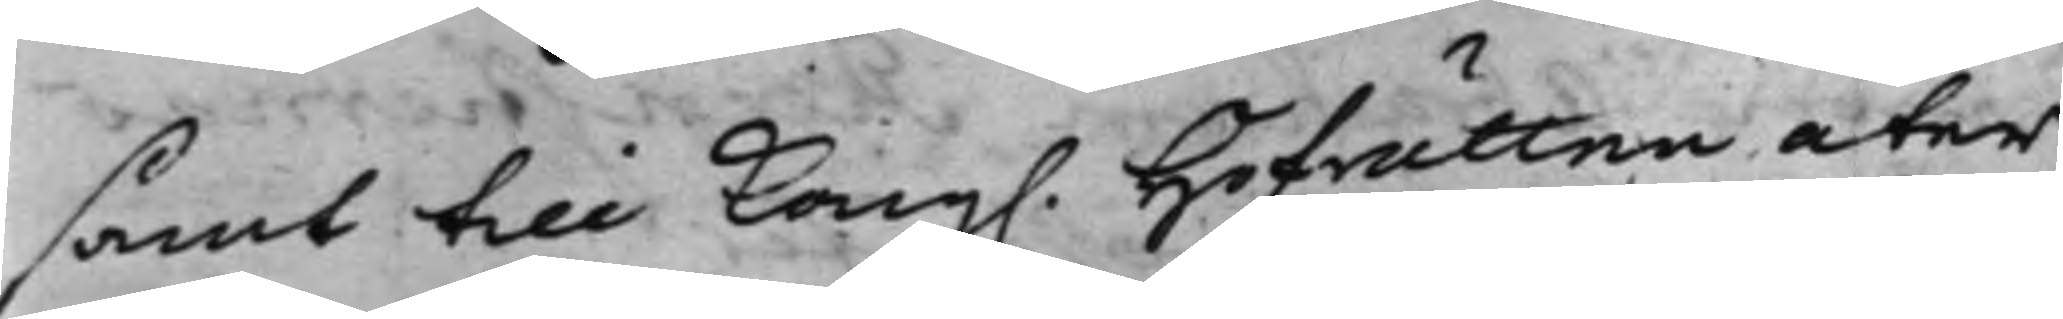samt till Kong. Hofrätten åter
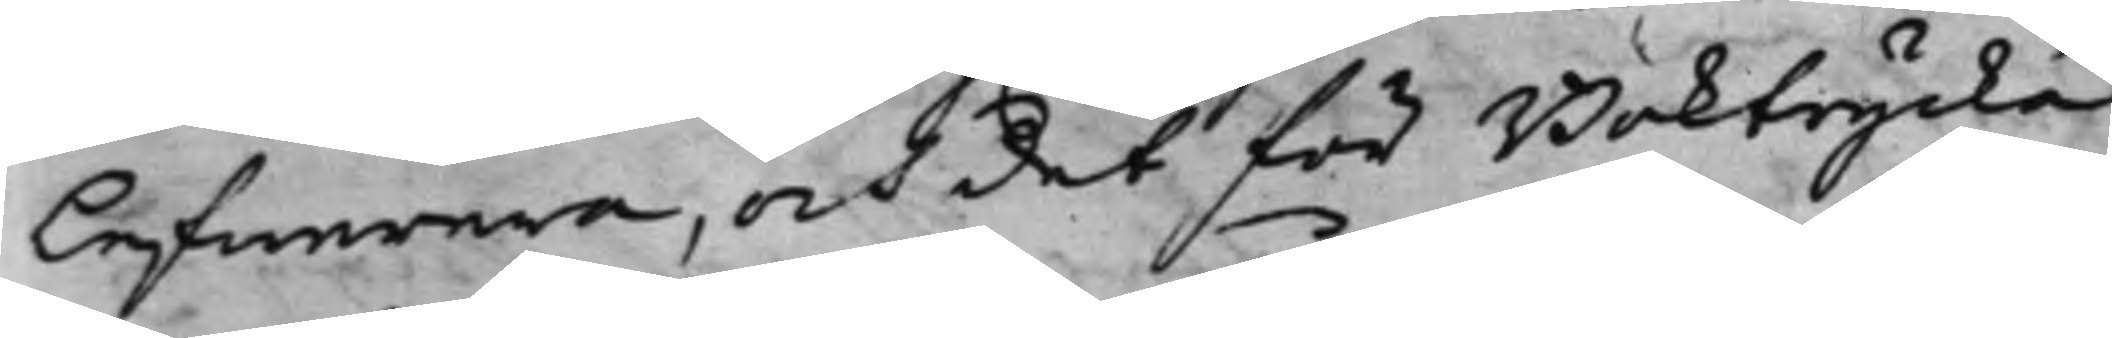lefwerera, och det för Boktrycka¬
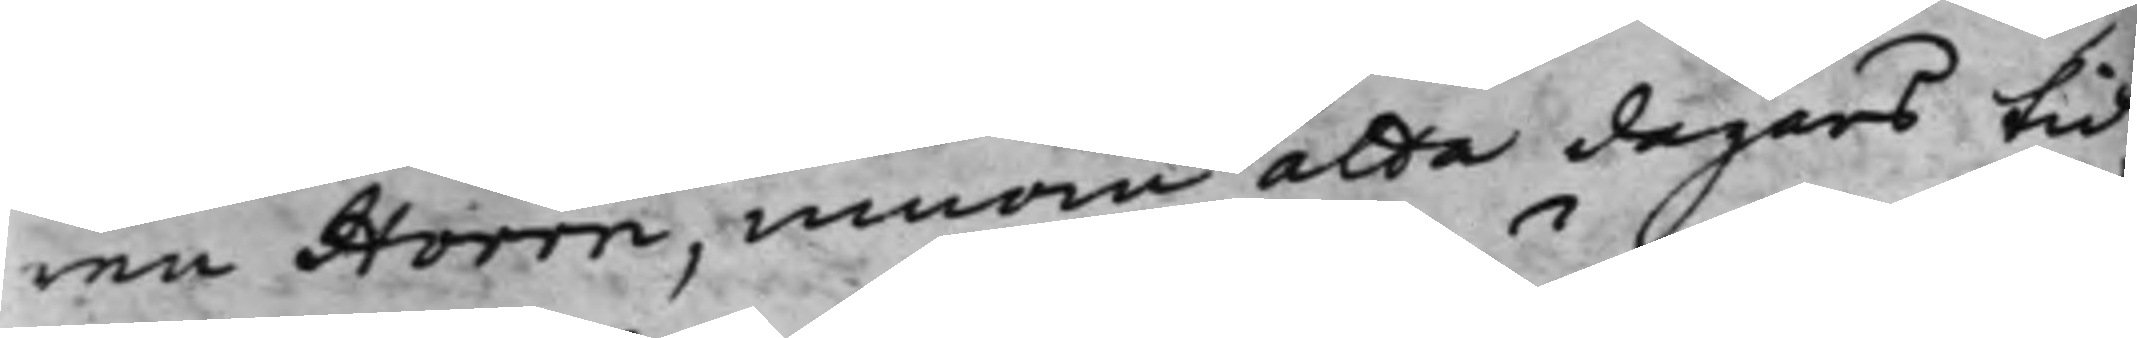ren Horrn, innom åtta dagars tid,
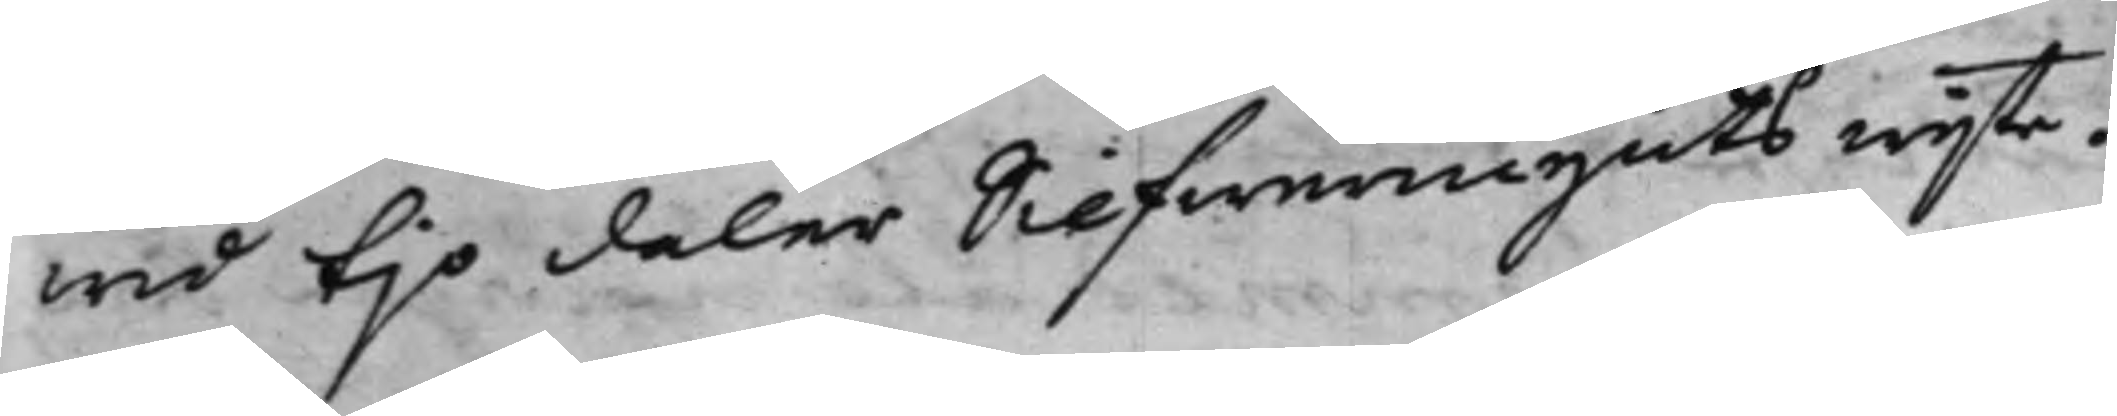wid tijo daler Silfwermynts wijte.
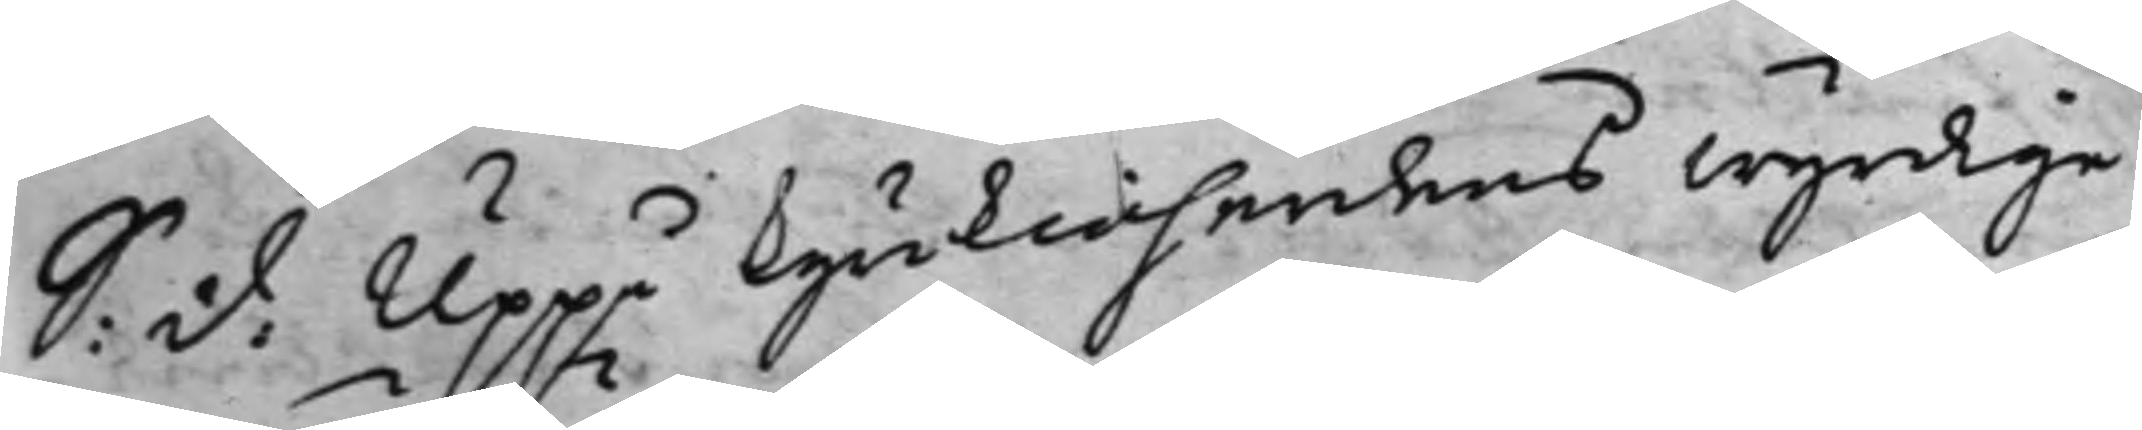S. d. Uppå Kyrkioherdens wyrdige
